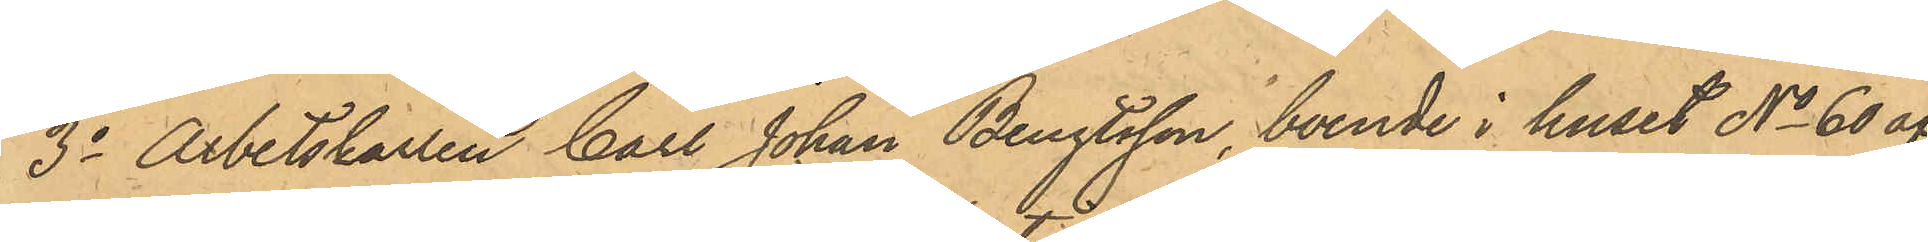3oArbetskarlen Carl Johan Bengtsson, boende i huset No 60 af
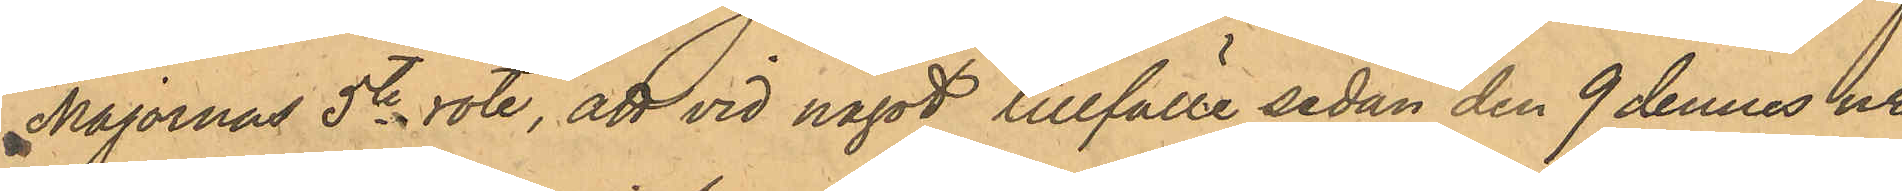Majornas 5te rote, att vid något tillfälle sedan den 9 dennes ur
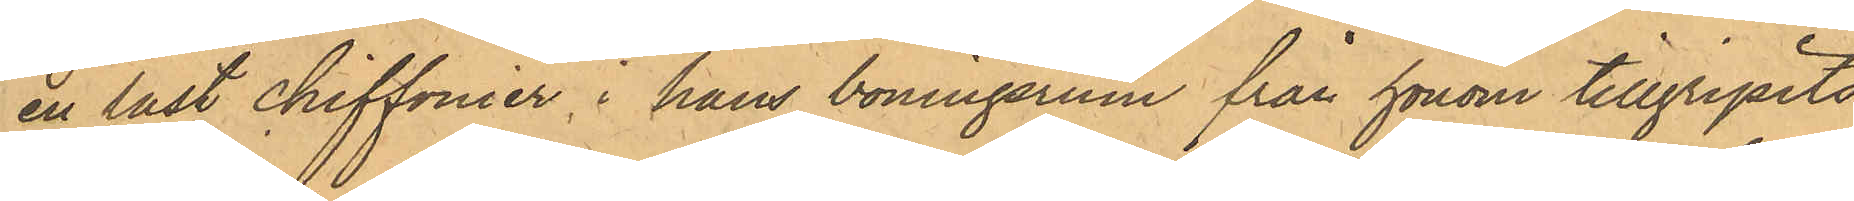en låst chiffonier i hans boningsrum från honom tillgripits
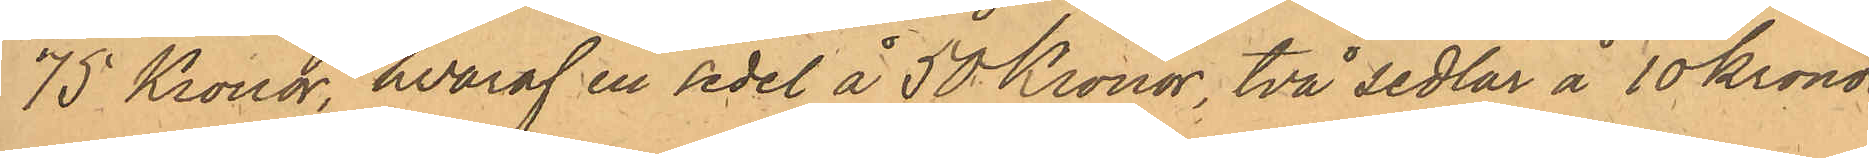75 Kronor, hvaraf en sedel å 50 Kronor, två sedlar å 10 Kronor
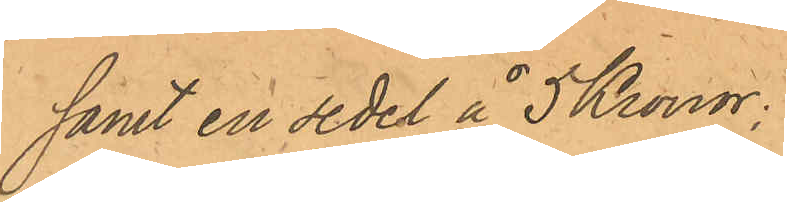samt en sedel å 5 Kronor.
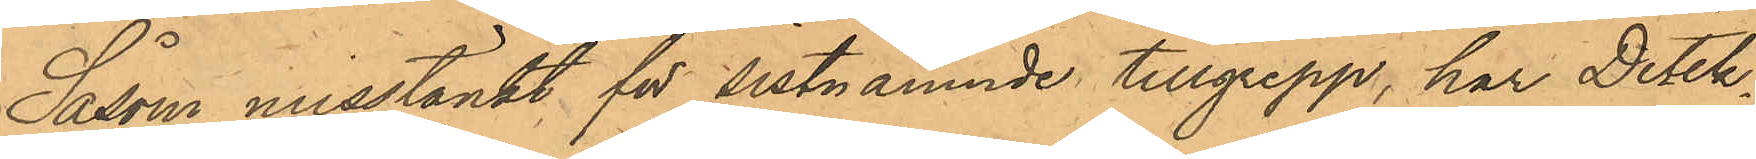Såsom misstänkt för sistnämnde tillgrepp, har Detek¬
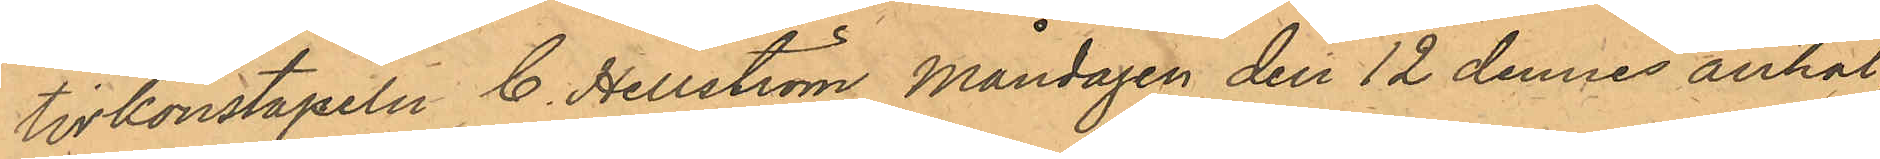tivkonstapeln C. Hellström Måndagen den 12 dennes anhål¬
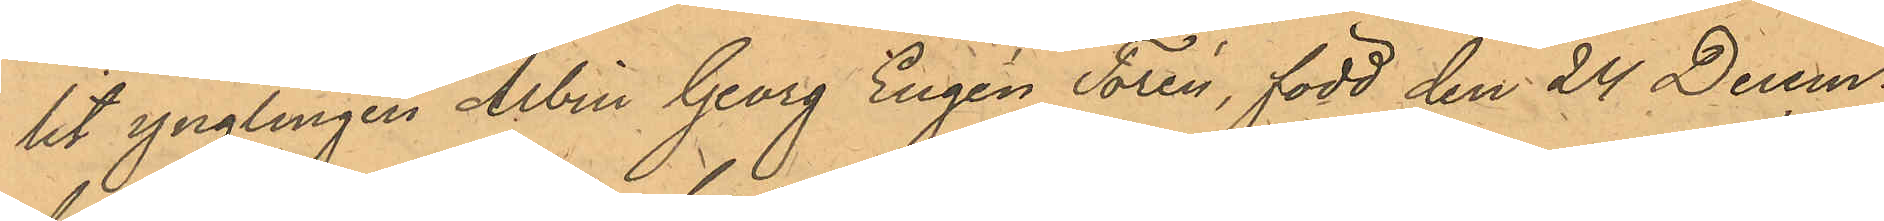lit ynglingen Albin Georg Eugén Torén, född den 24 Decem¬
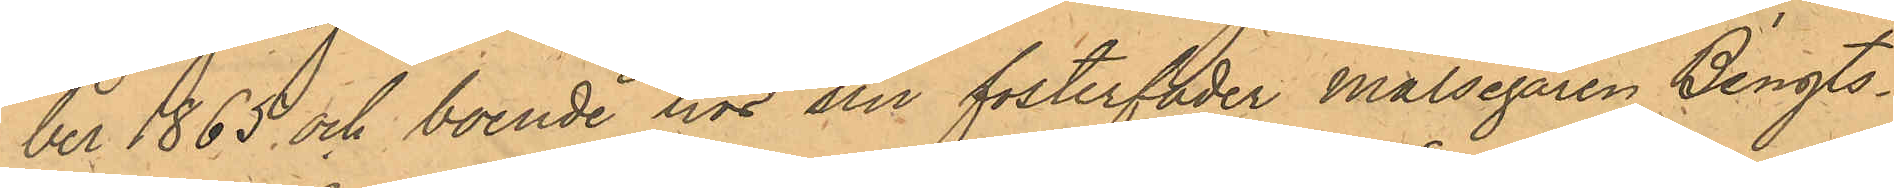ber 1865 och boende hos sin fosterfader Målsegaren Bengts¬
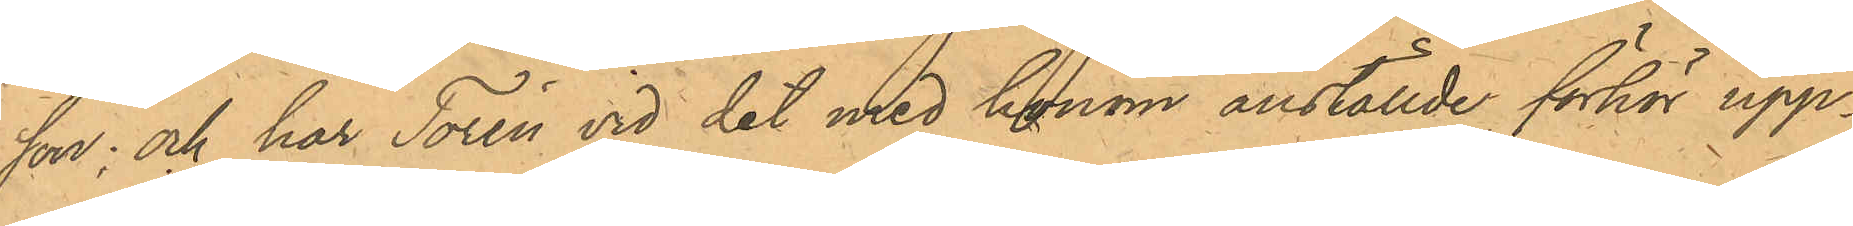son; och har Torén vid det med honom anställde förhör upp¬
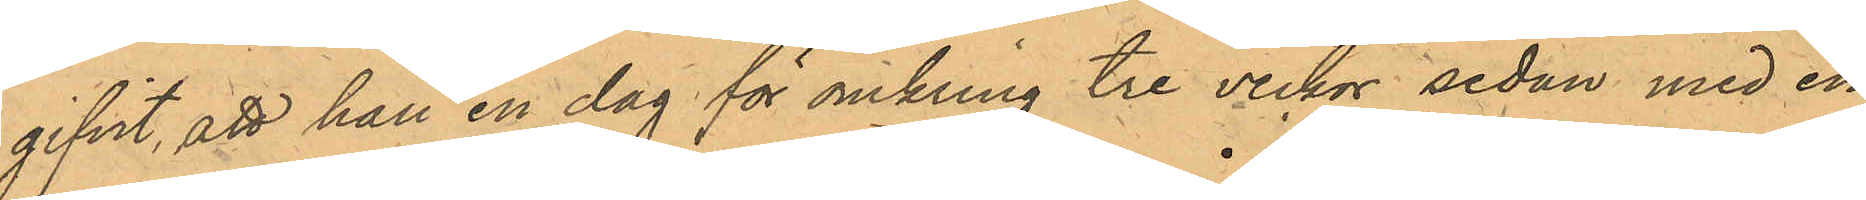gifvit, att han en dag för omkring tre veckor sedan med en
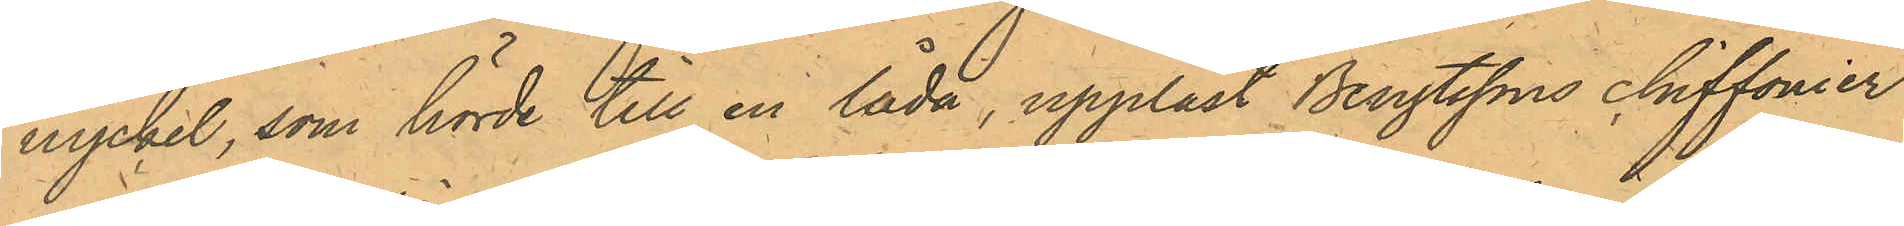nyckel, som hörde till en låda, upplåst Bengtssons chiffonier
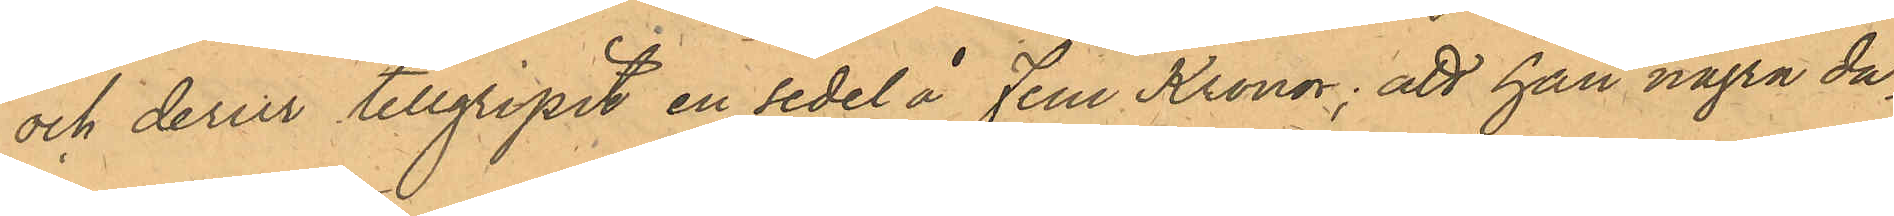och derur tillgripit en sedel å Fem Kronor; att han några da¬
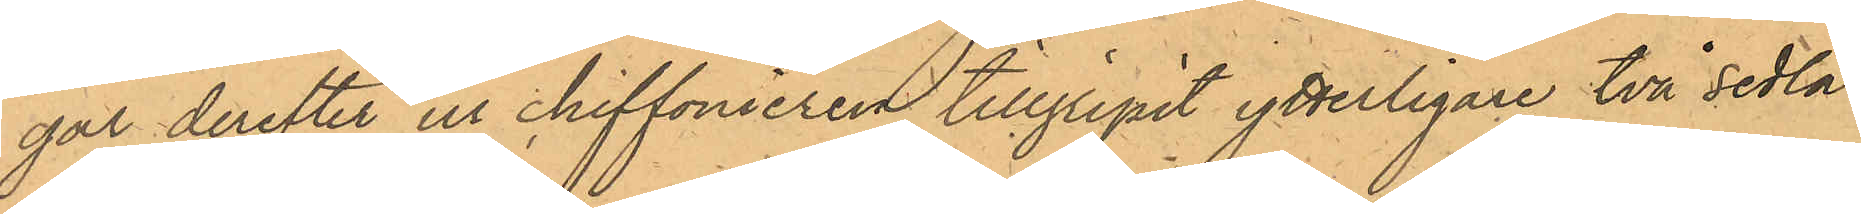gar derefter ur chiffonieren tillgripit ytterligare två sedlar
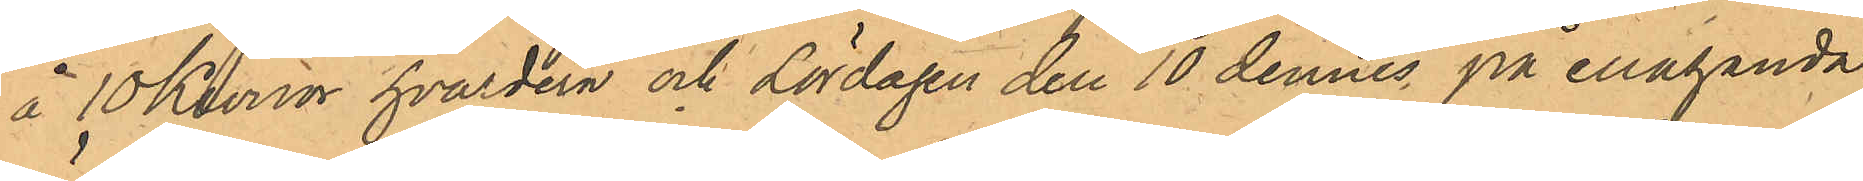å 10 Kronor hvardera och Lördagen den 10 dennes på enahanda
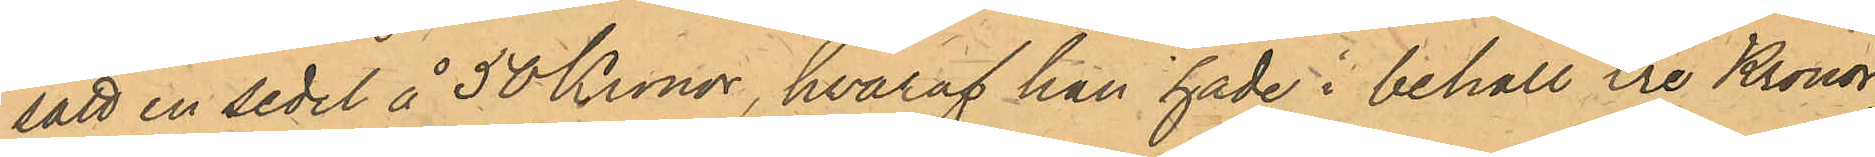sätt en sedel å 50 Kronor, hvaraf han hade i behåll tre Kronor,
